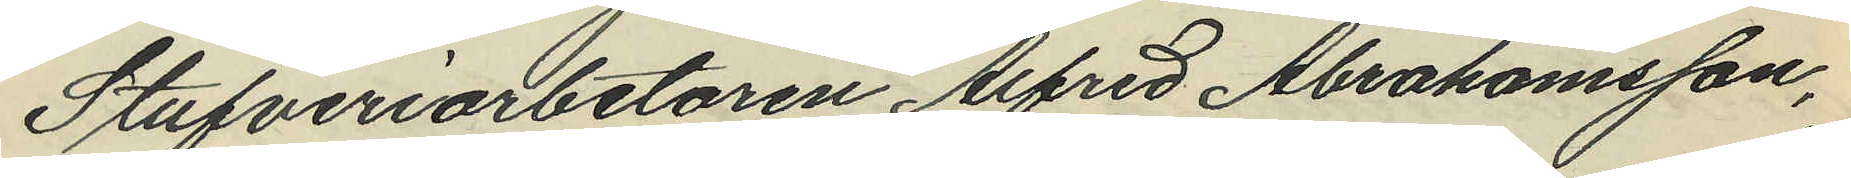Stufveriarbetaren Alfred Abrahamsson,
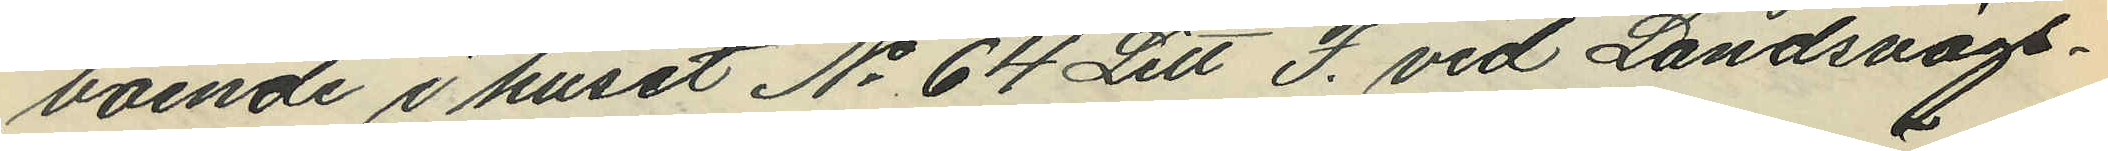boende i huset No 64 Litt F. vid Landsvägs¬
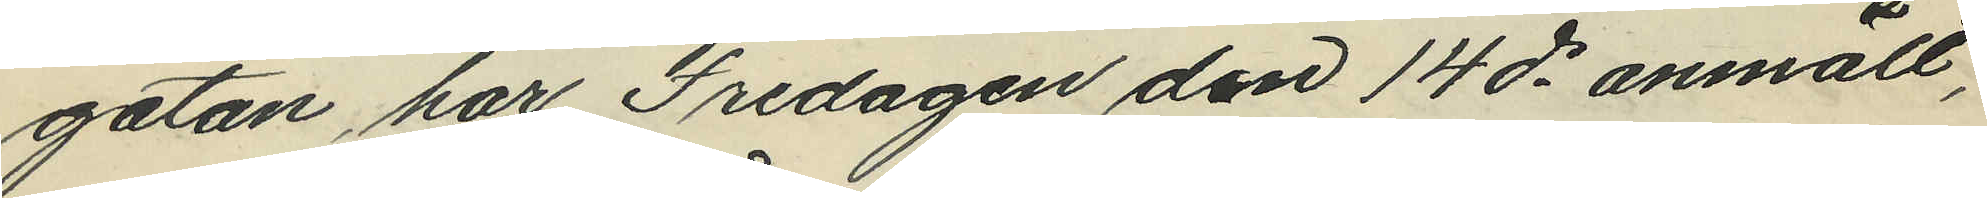gatan, har Fredagen den 14 ds anmält,
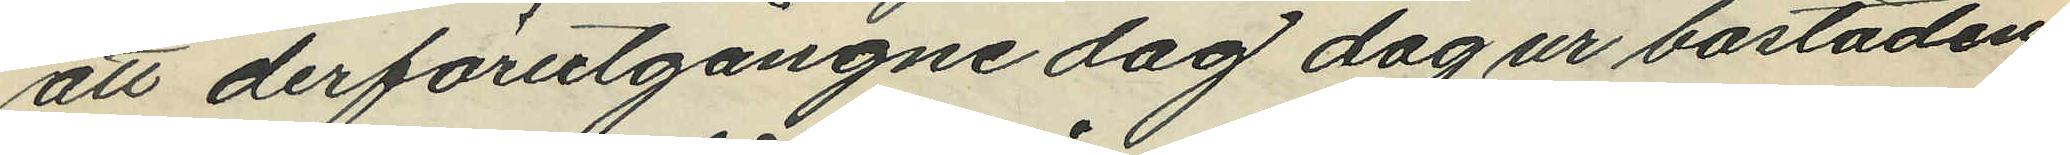att derförutgångne dag dag ur bostaden
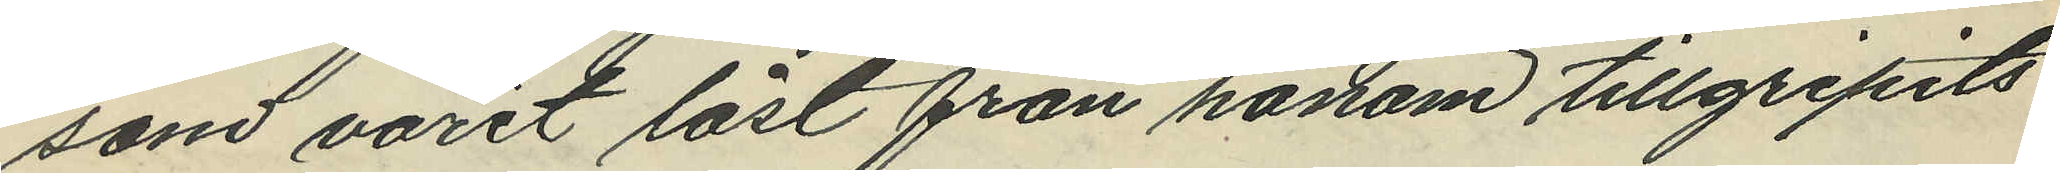som varit låst från honom tillgripits
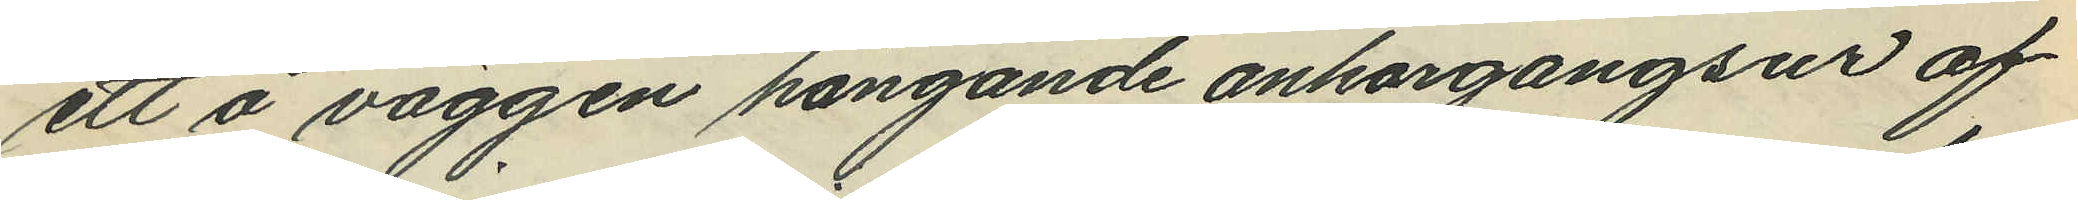ett å väggen hängande ankargangsur af
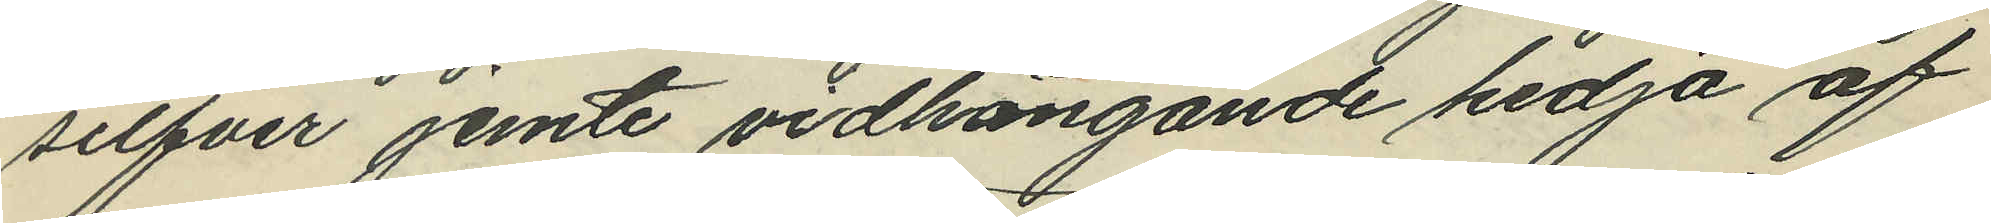silfver jemte vidhängande kedja af
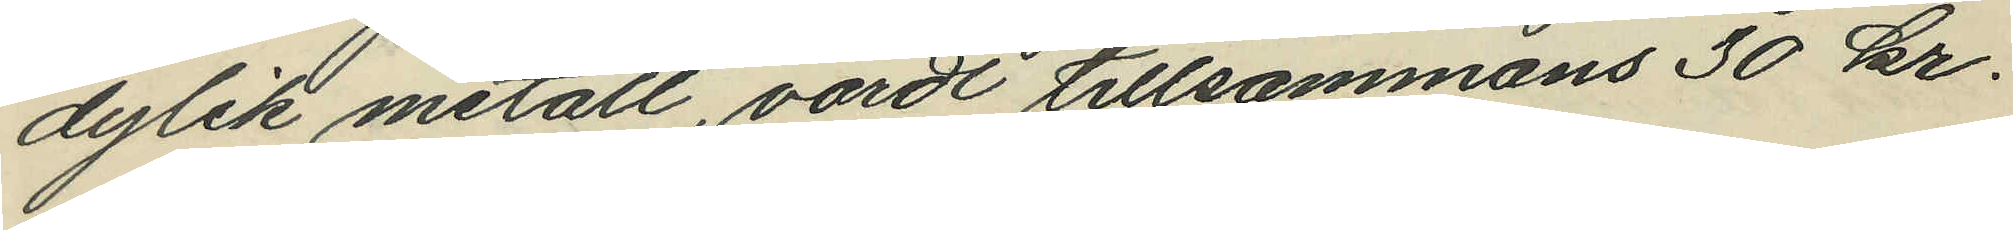dylik metall, värdt tillsammans 30 kr.
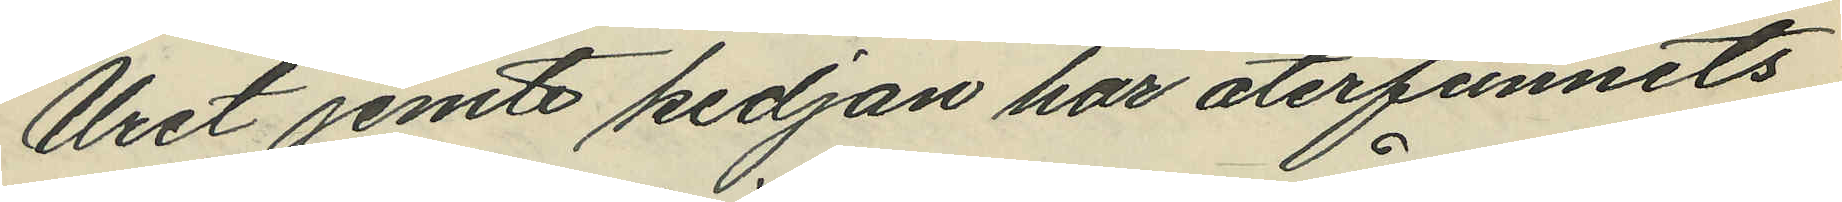Uret jemte kedjan har återfunnits
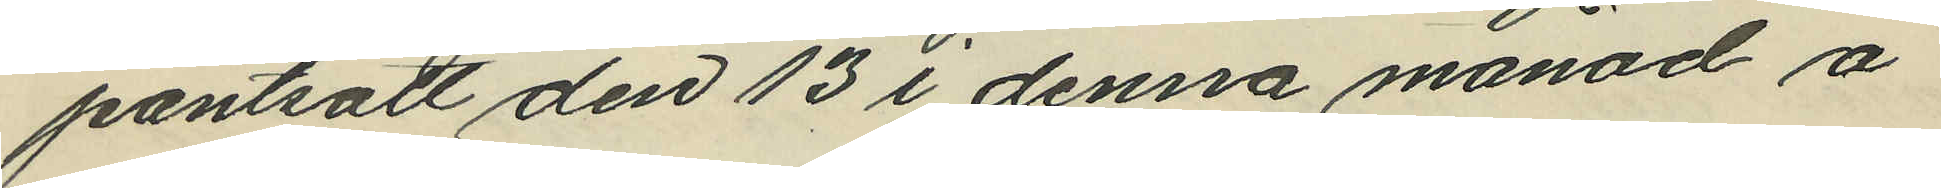pantsatt den 13 i denna månad å
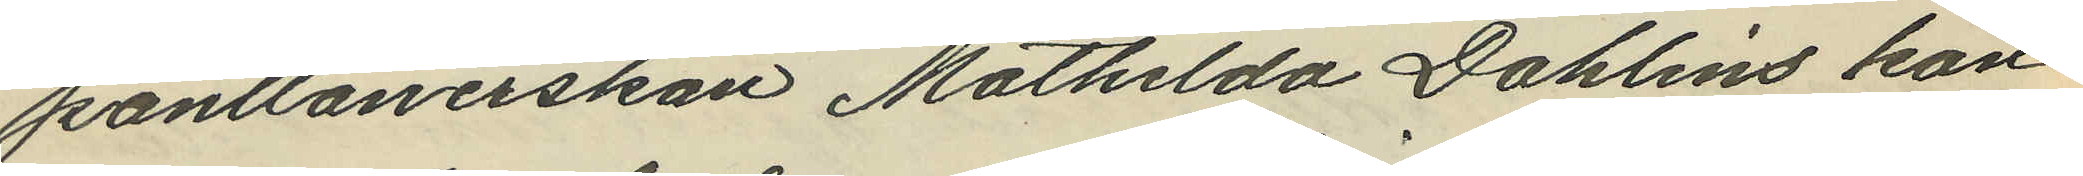pantlånerskan Mathilda Dahlins kon¬
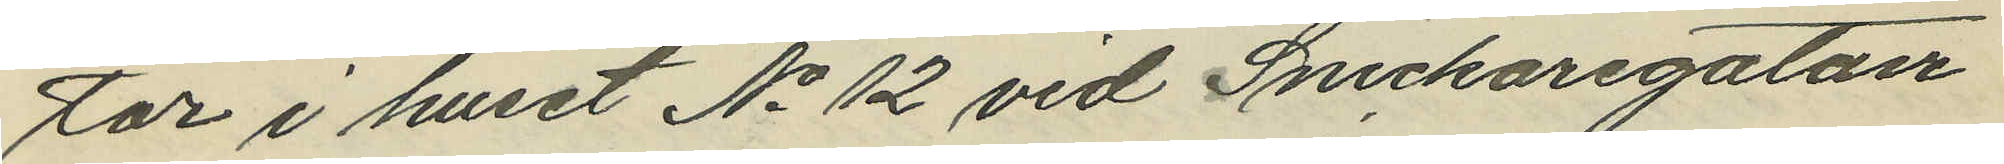tor i huset No 12 vid Snickaregatan
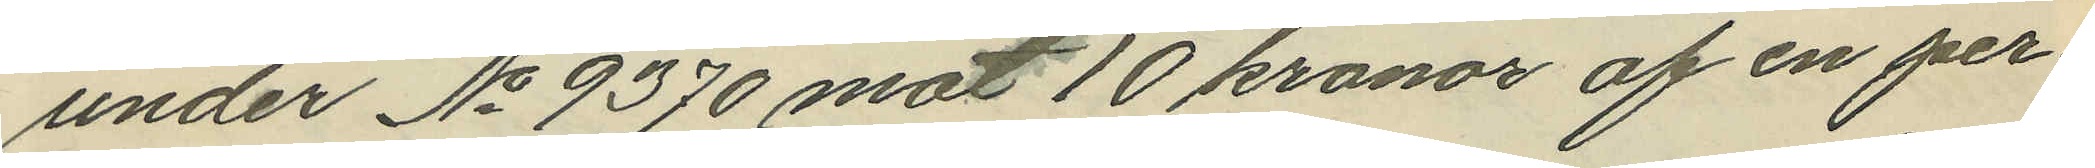under No 9370 mot 10 kronor af en per¬
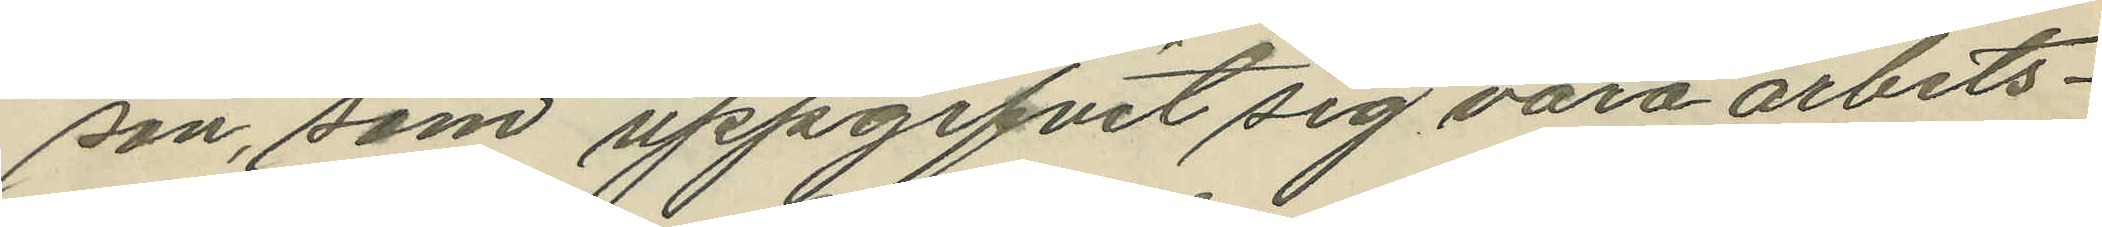son, som uppgifvit sig vara arbets¬
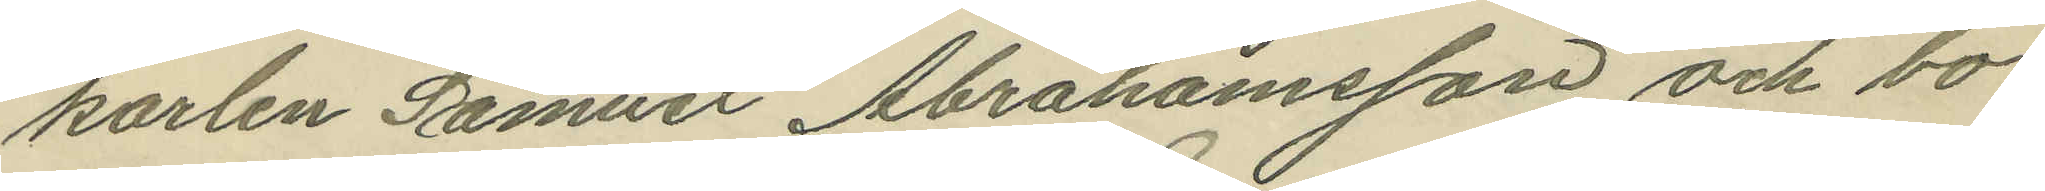karlen Samuel Abrahamsson och bo
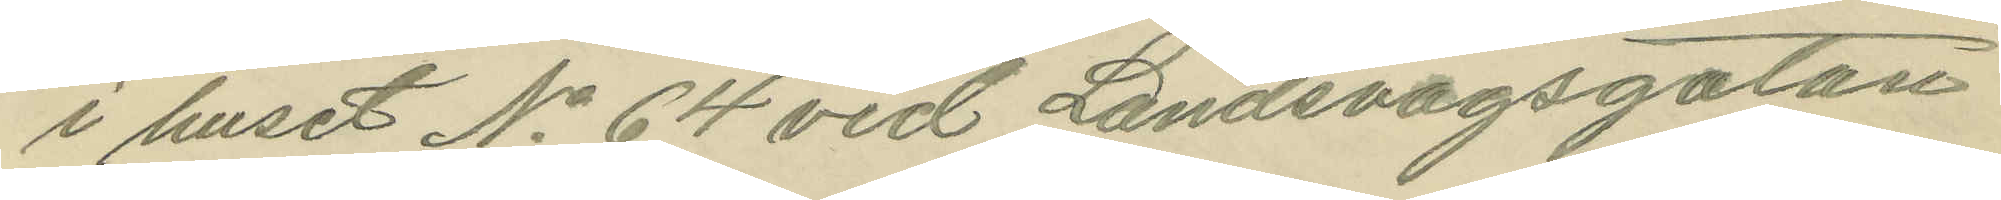i huset No 64 vid Landsvägsgatan
